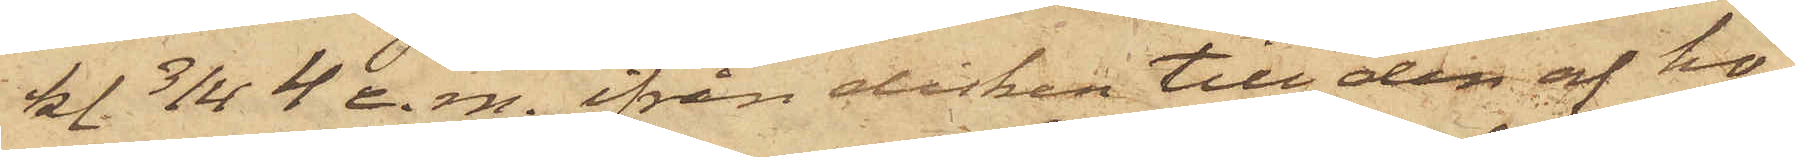kl. 3/4  4 e. m. ifrån disken till den af ho¬
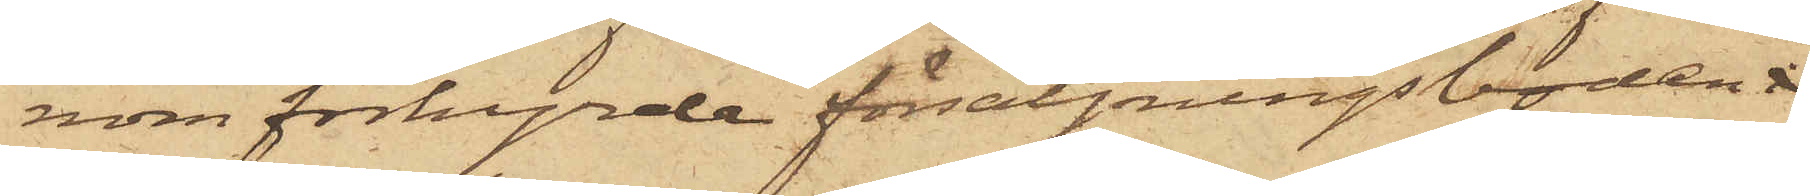nom förhyrda försäljningsboden i
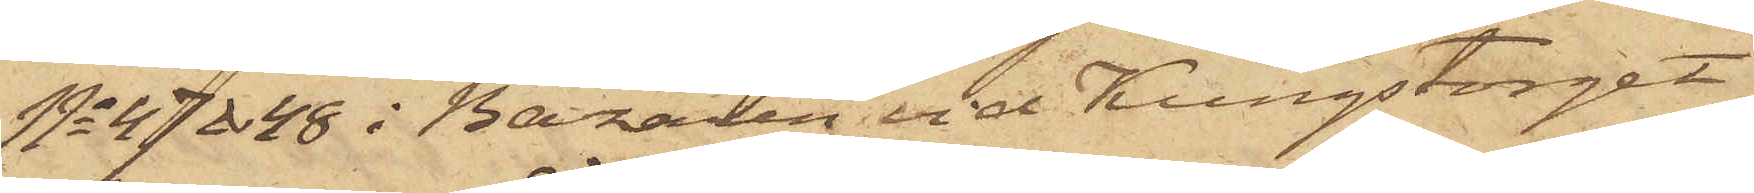No 47 & 48 i Bazaren vid Kungstorget
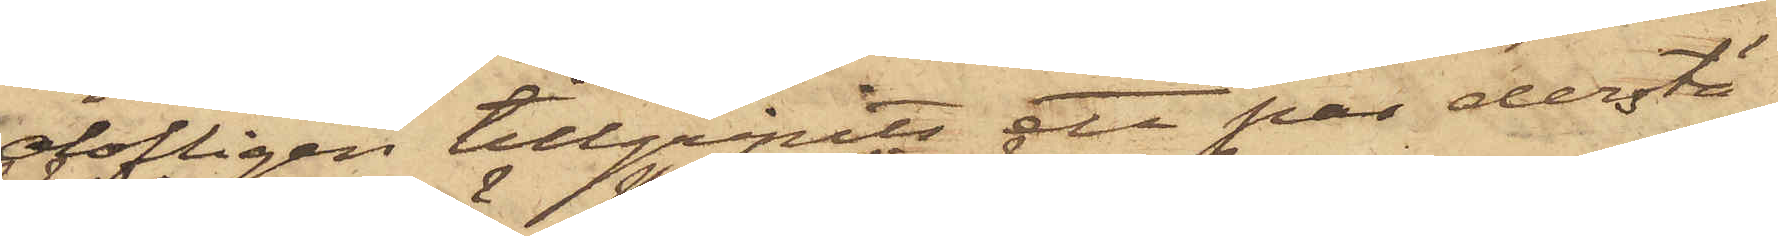olofligen tillgripits ett par derstä¬
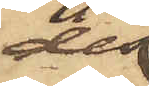des
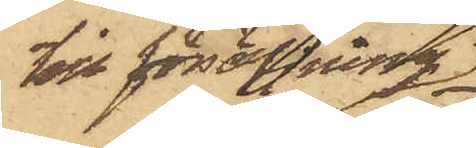till försäljning
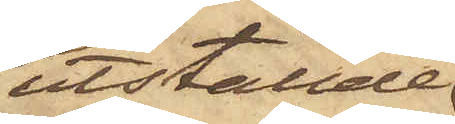utställde
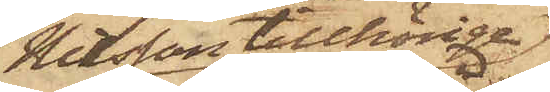Nilsson tillhörige
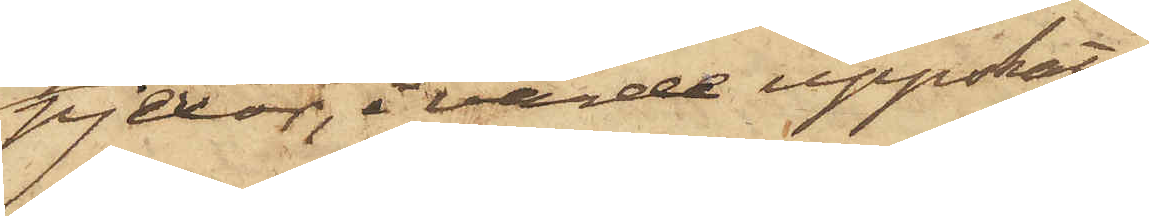pjexor, i värde uppskat¬
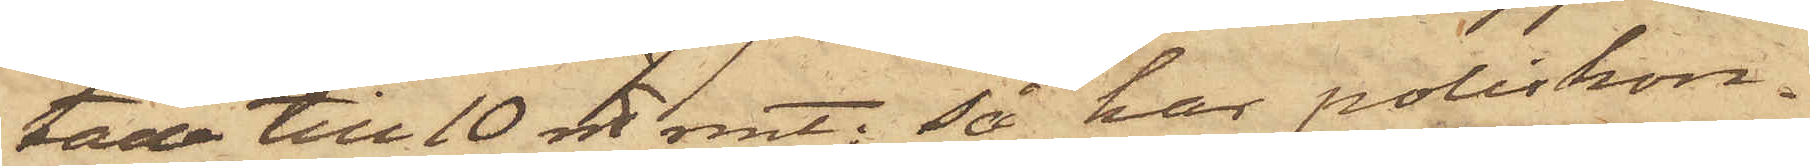tade till 10 rdr rmt; så har poliskom¬
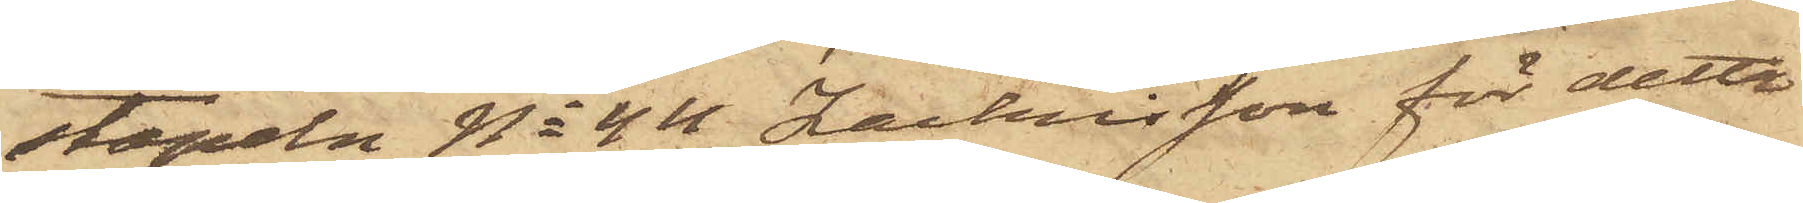stapeln No 44 Zachrisson för detta
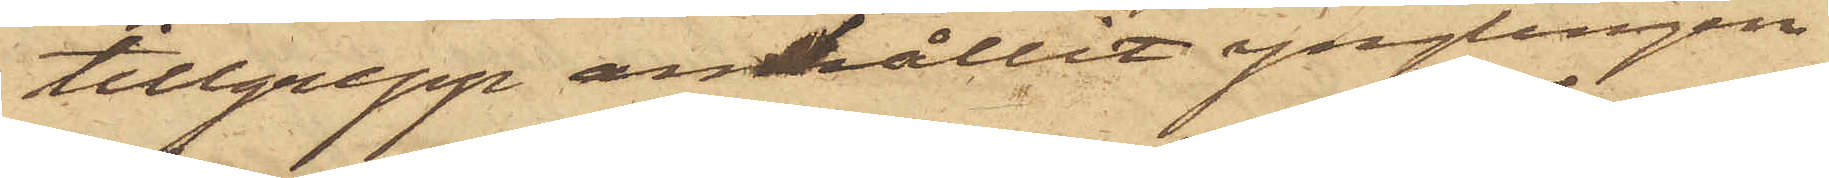tillgrepp anhållit ynglingen
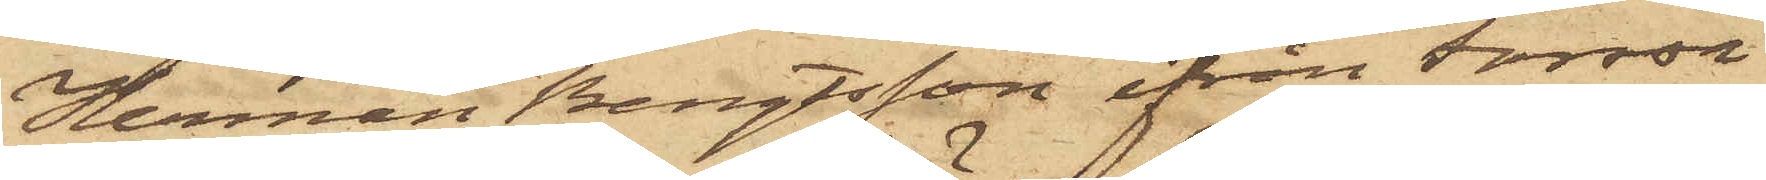Herman Bengtsson ifrån Forssa
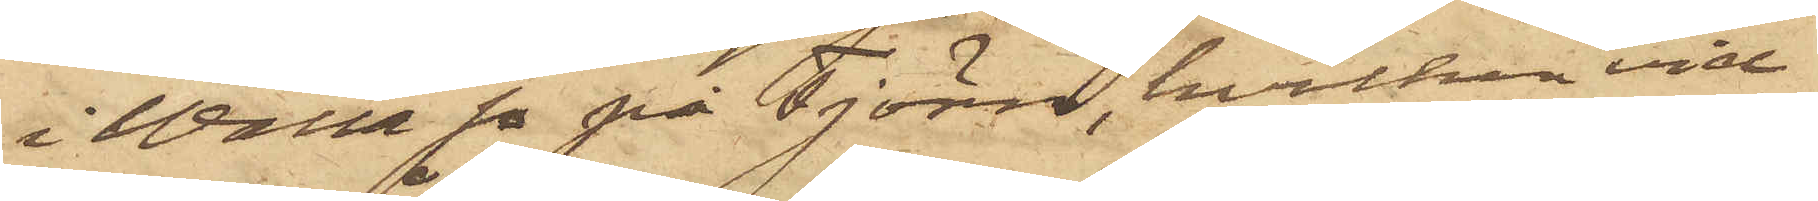i Walla sn på Tjörn, hvilken vid
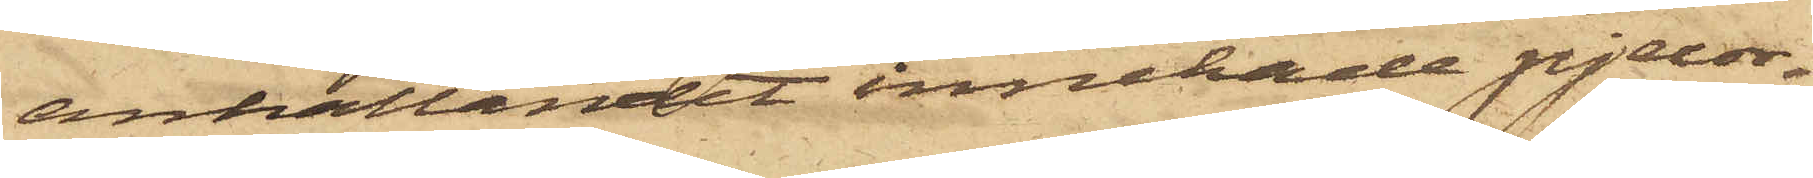anhållandet innehade pjexor¬
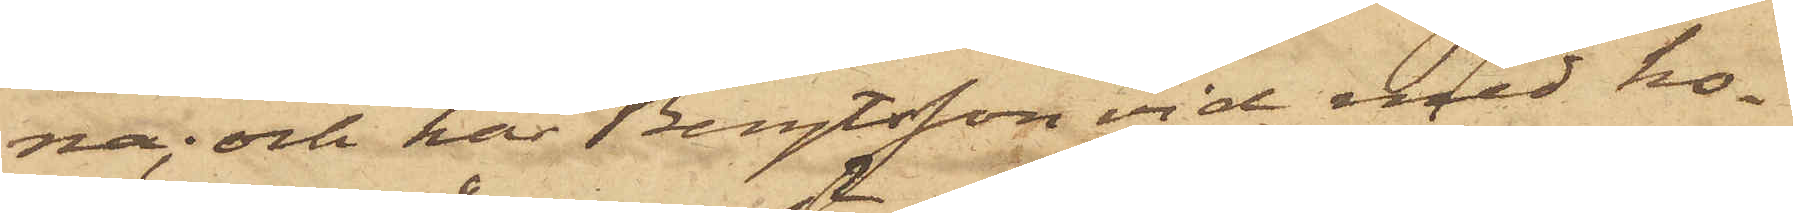na; och har Bengtsson vid med ho¬
